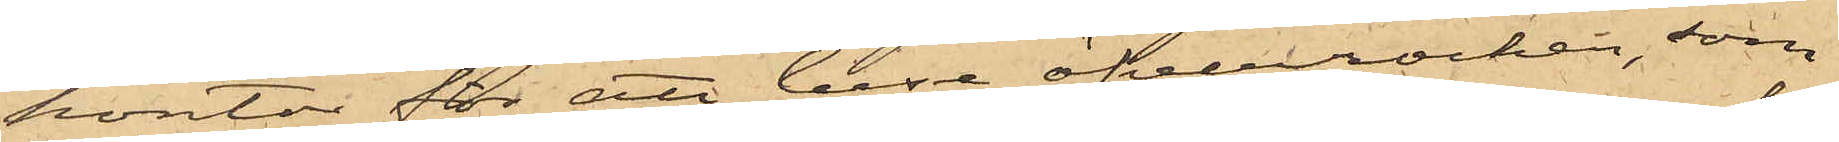kontor för att bese öfverrocken, som
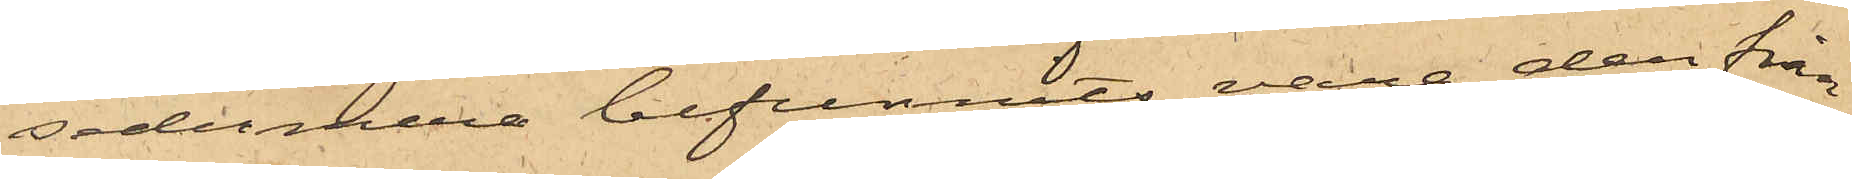sedermera befunnits vara den från
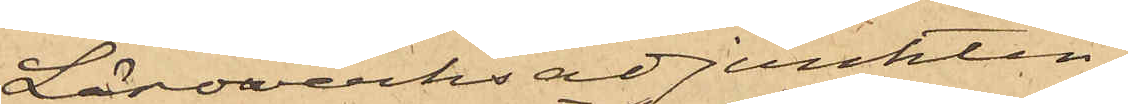Läroverksadjunkten
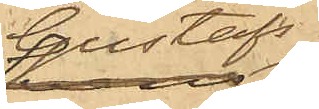Gustafs¬
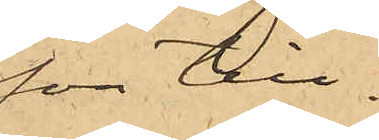son till¬
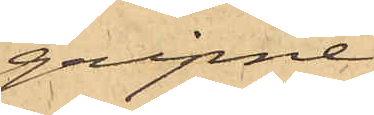gripne;
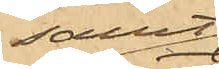samt
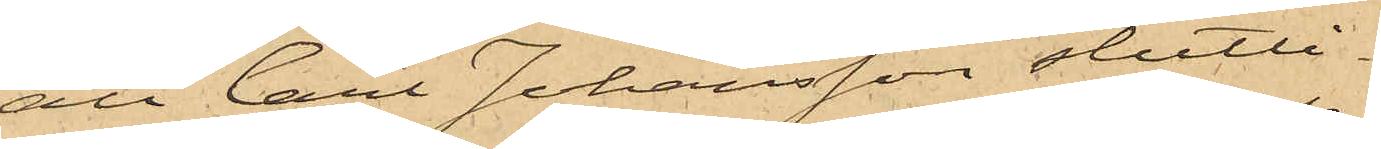att Carl Johansson slutli¬
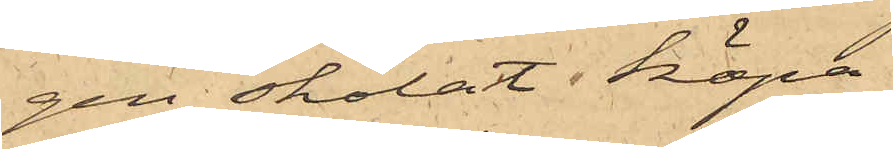gen skolat köpa
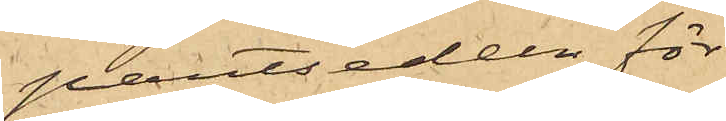pantsedeln för
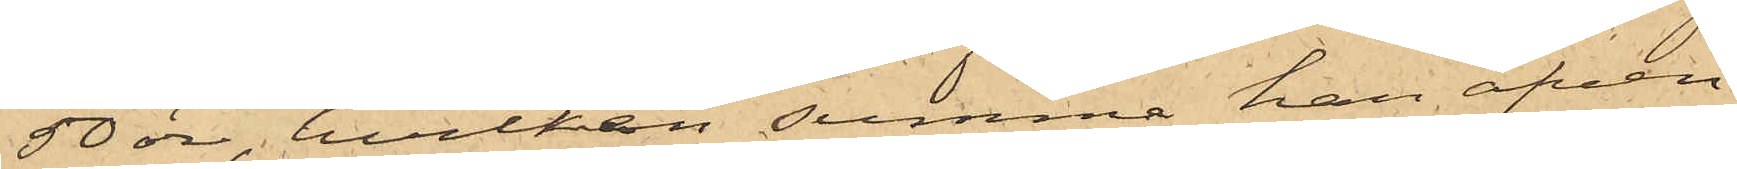50 öre, hvilken summa han äfven
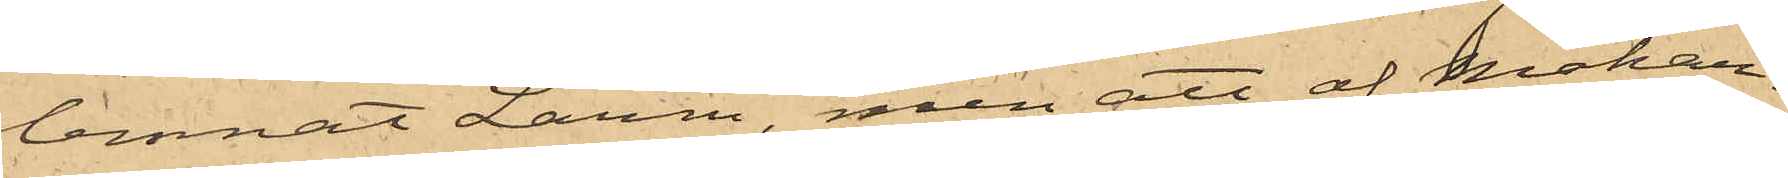lemnat Larm, men att af Makar¬
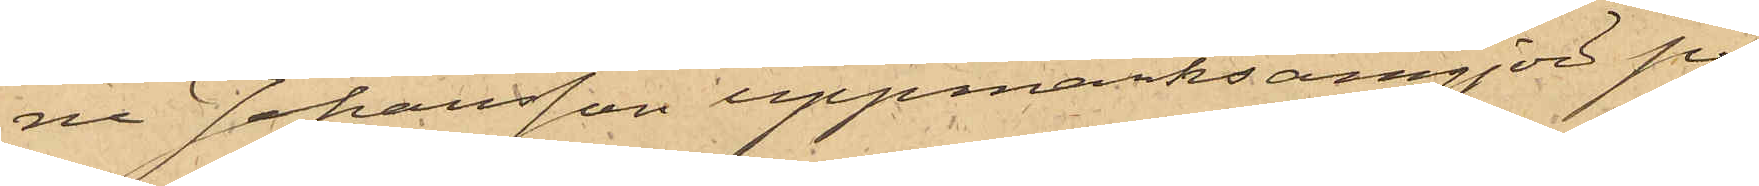ne Johansson uppmärksamgjord på
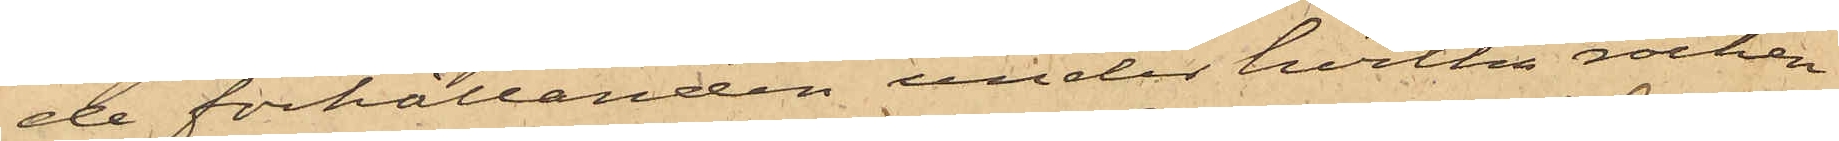de förhållanden under hvilka rocken
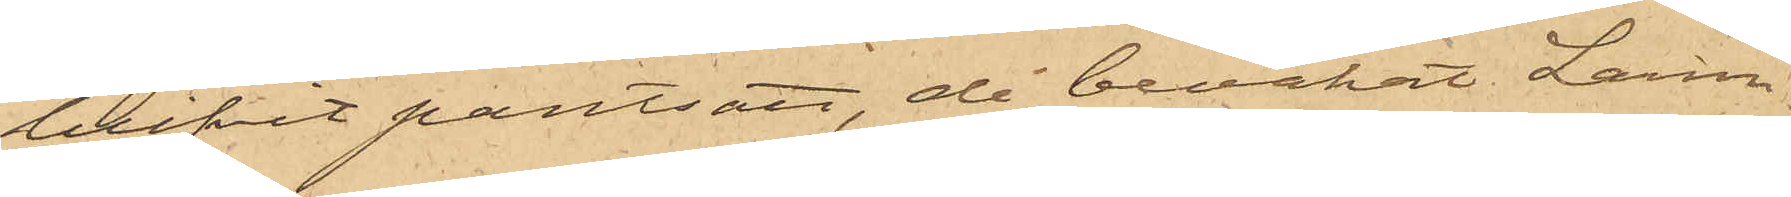blifvit pantsatt, då bevakat Larm
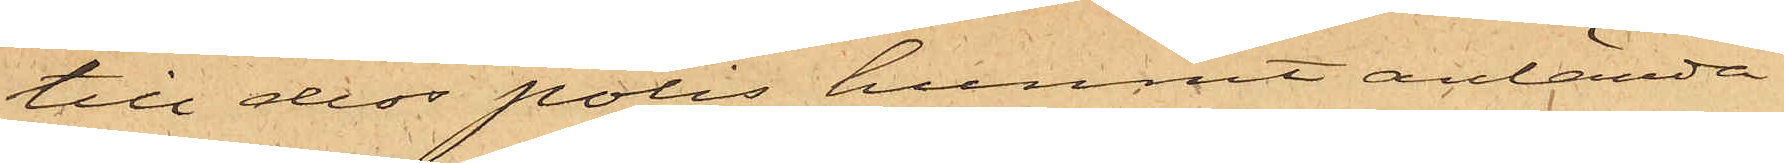till dess polis hunnit anlända.
